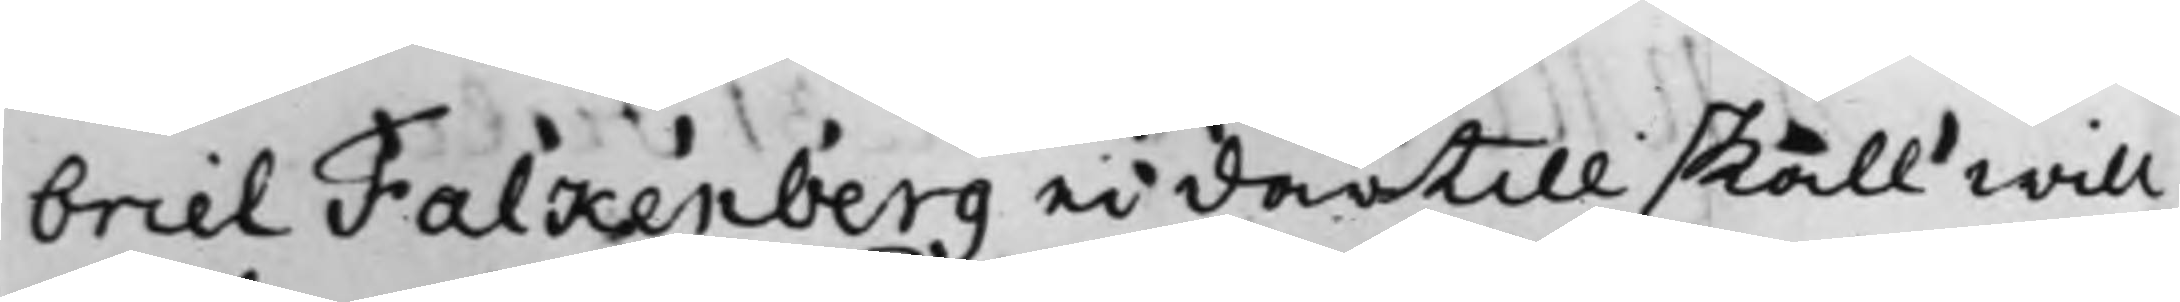briel Falkenberg ei därtill skall will¬
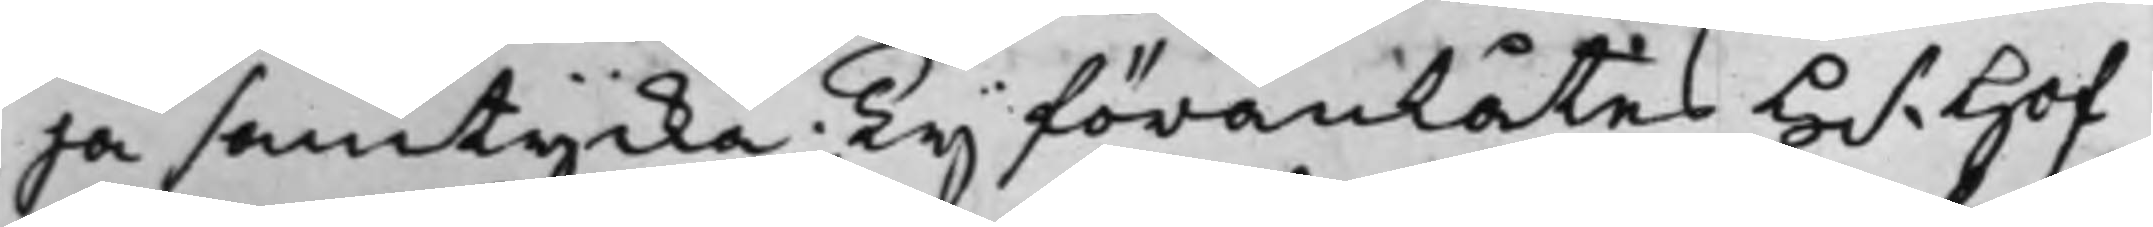ja samtycka; Ty föranlåtes H.r Hof¬
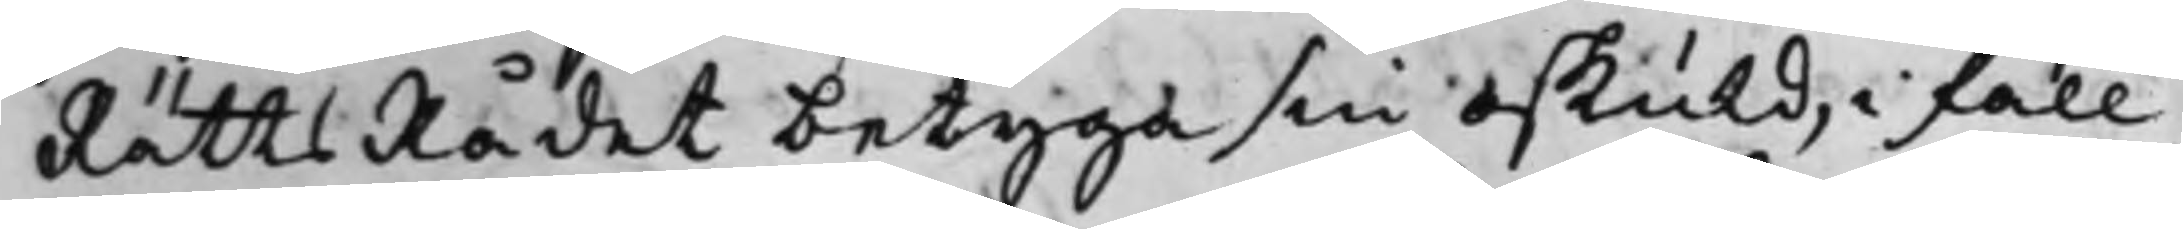RättsRådet betyga sin oskuld, i fall
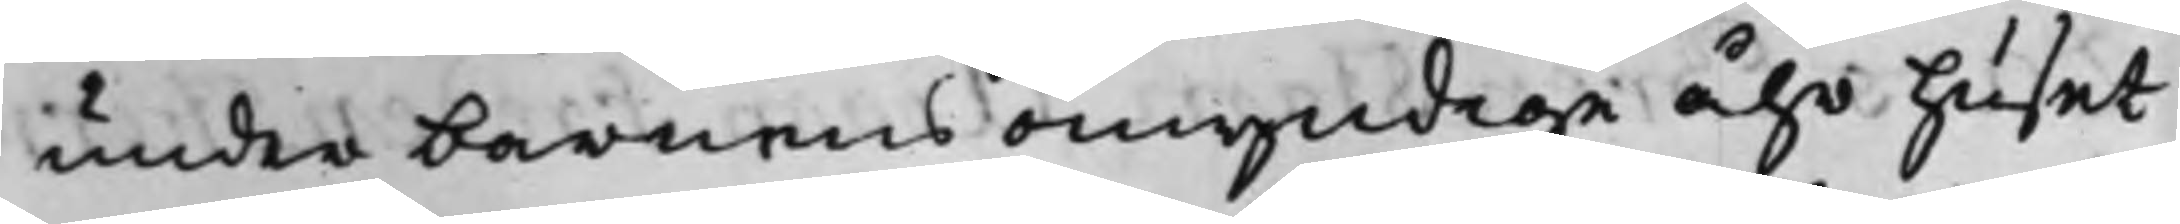under barnens omyndige åhr huset
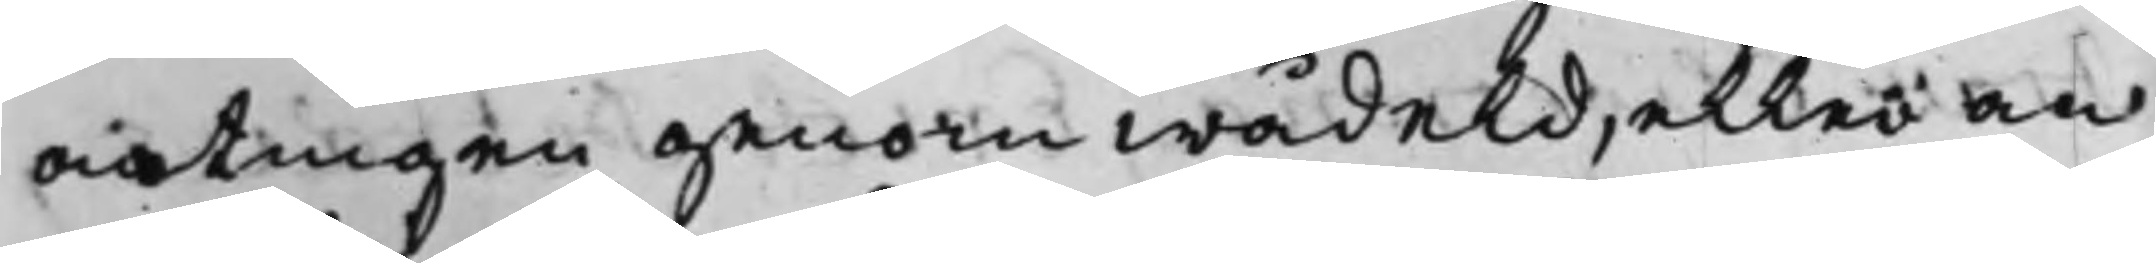antingen genom wådeld, eller an¬
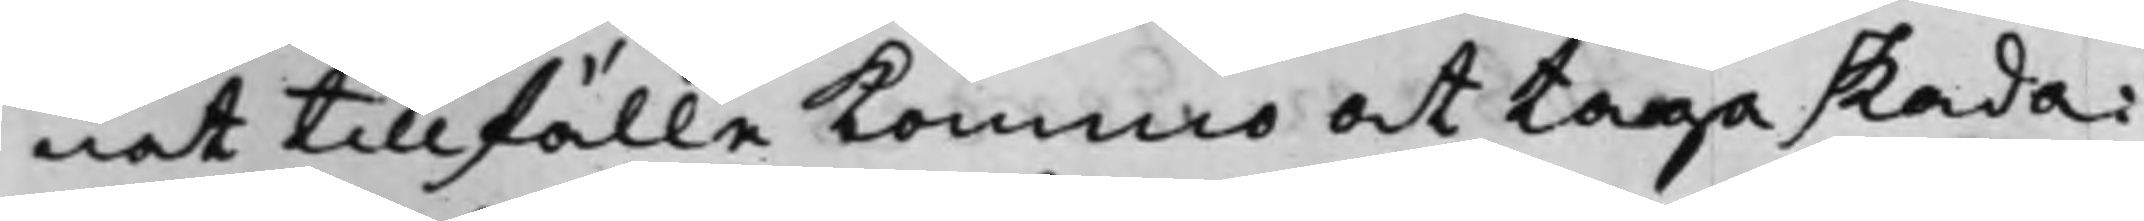nat tillfälle kommo at taga skada
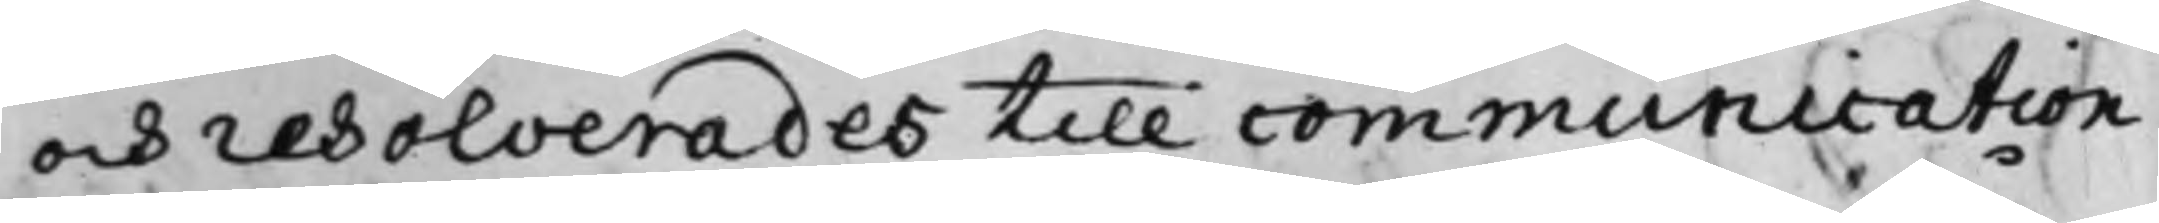och resolverades till communication
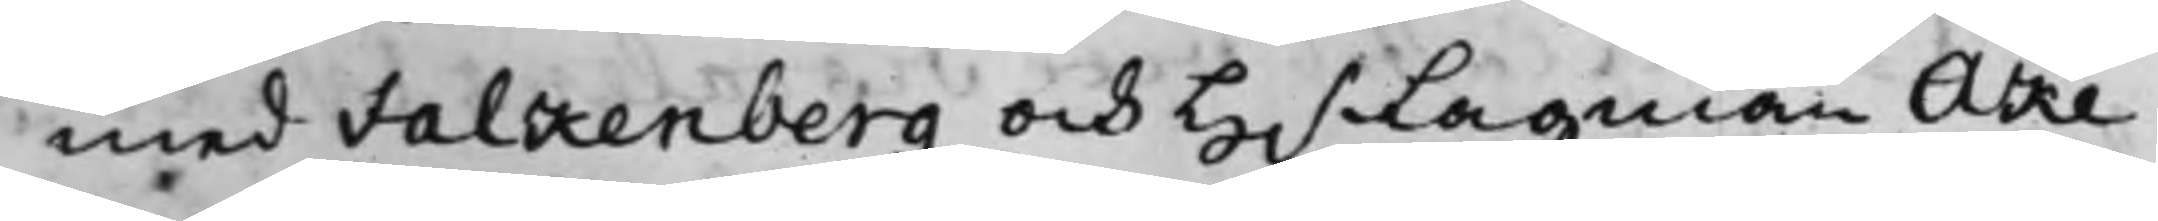med Falkenberg och H.r Lagman Åke
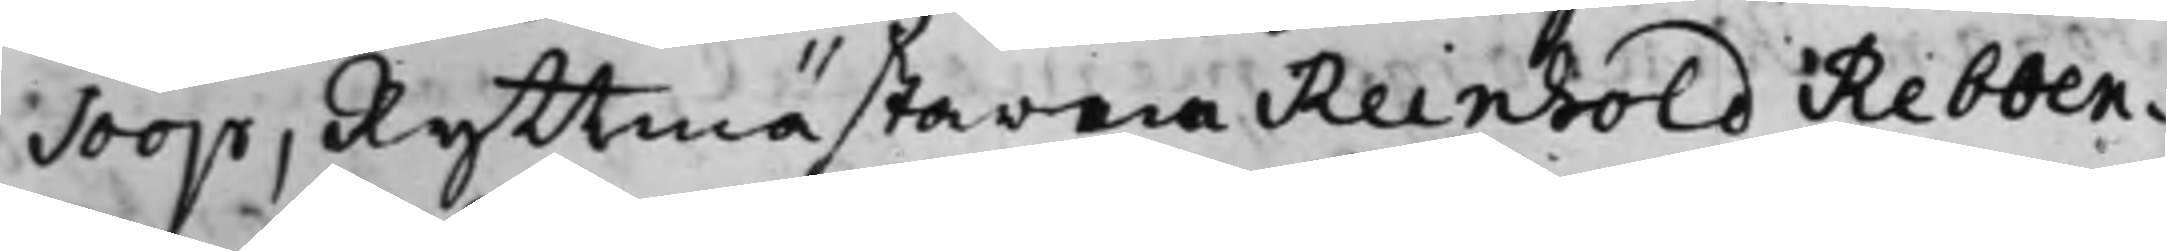Soop, Ryttmästarena Reinhold Rebben¬
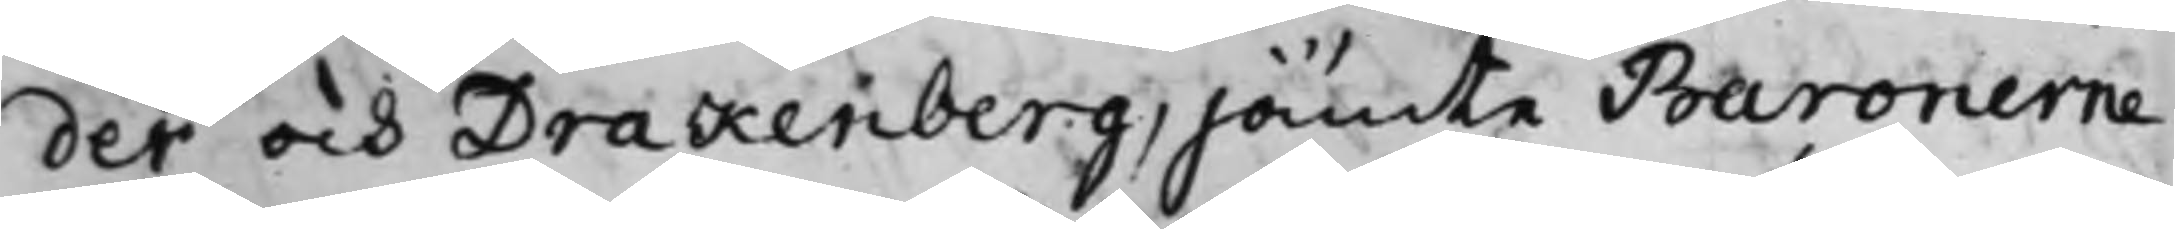der och Drakenberg, jämte Baronerne
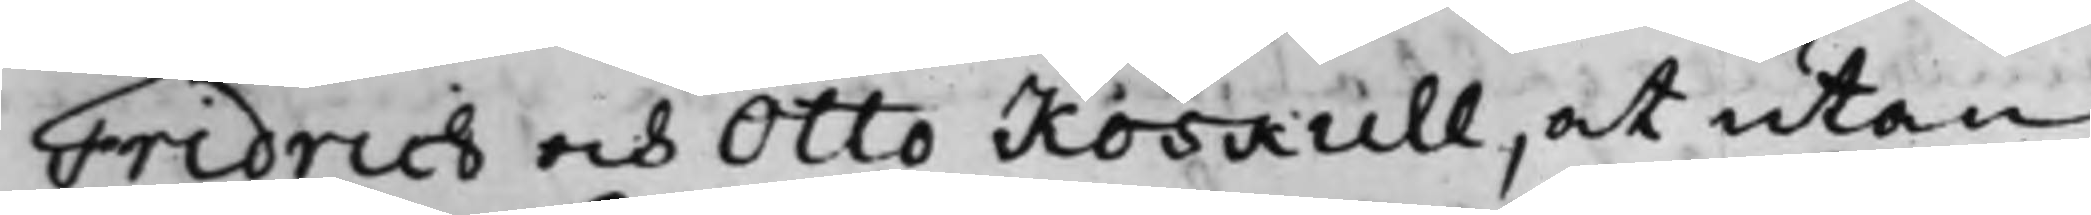Fridrich och Otto Koskull, at utan
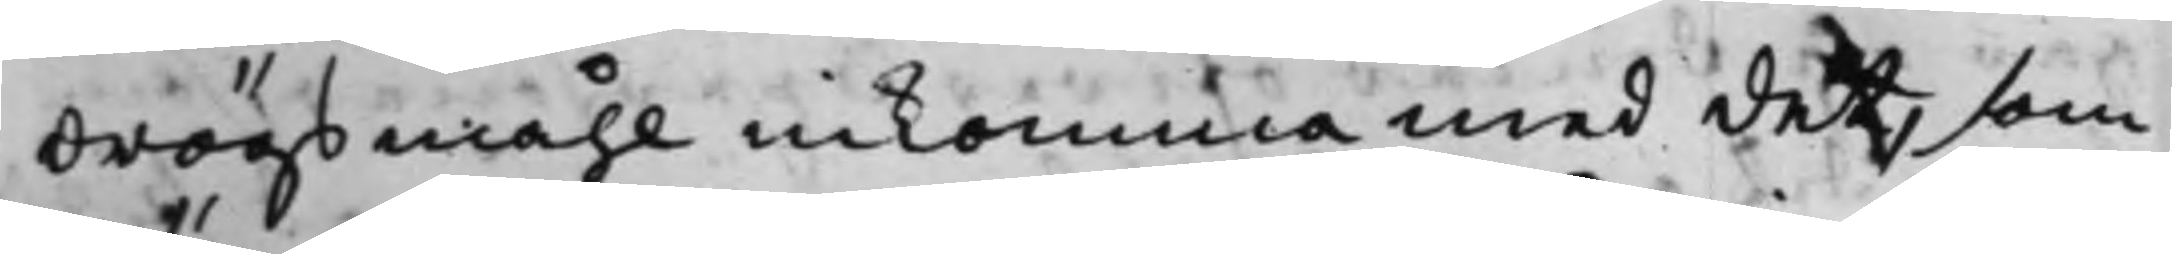drögsmåhl inkomma med det, som
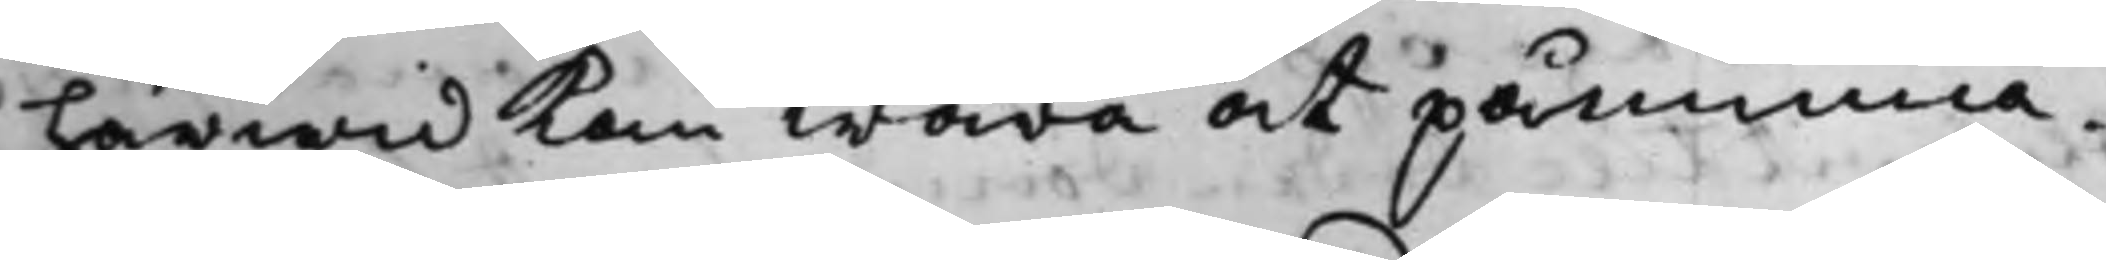härwid kan wara at påminna.
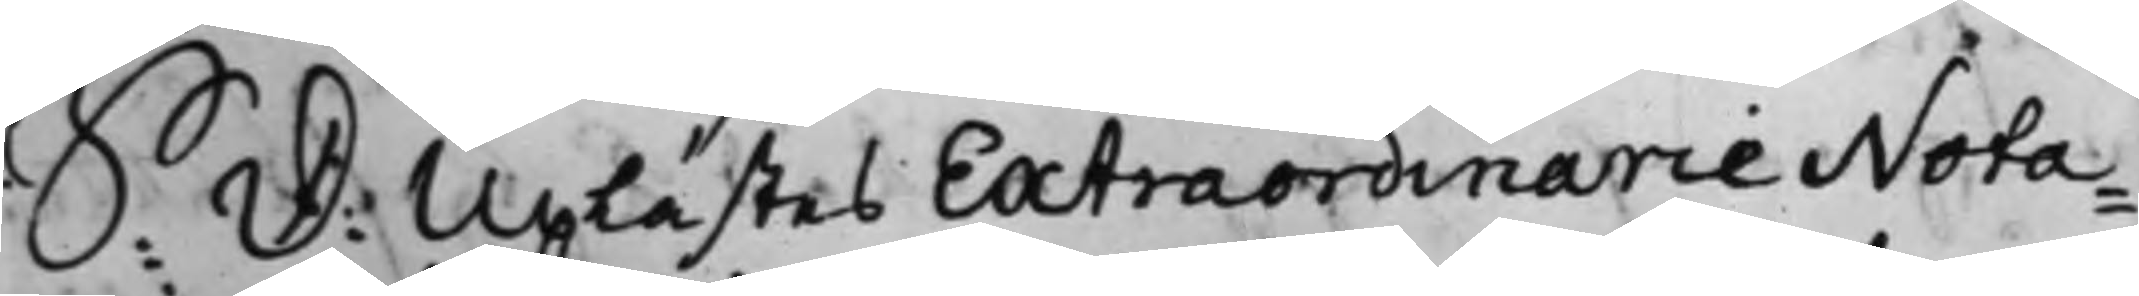S: D: Uplästes Extraordinarie Nota¬
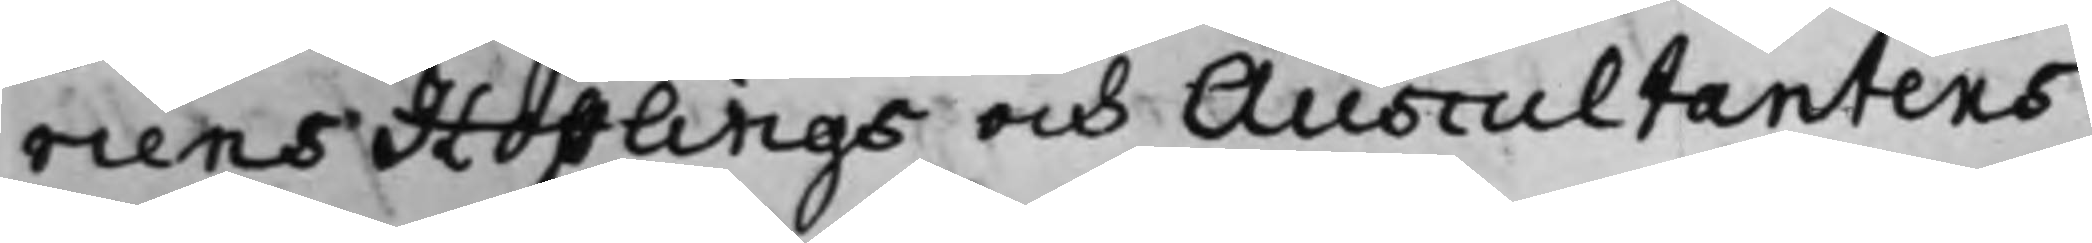riens Hofflings och Auscultantens
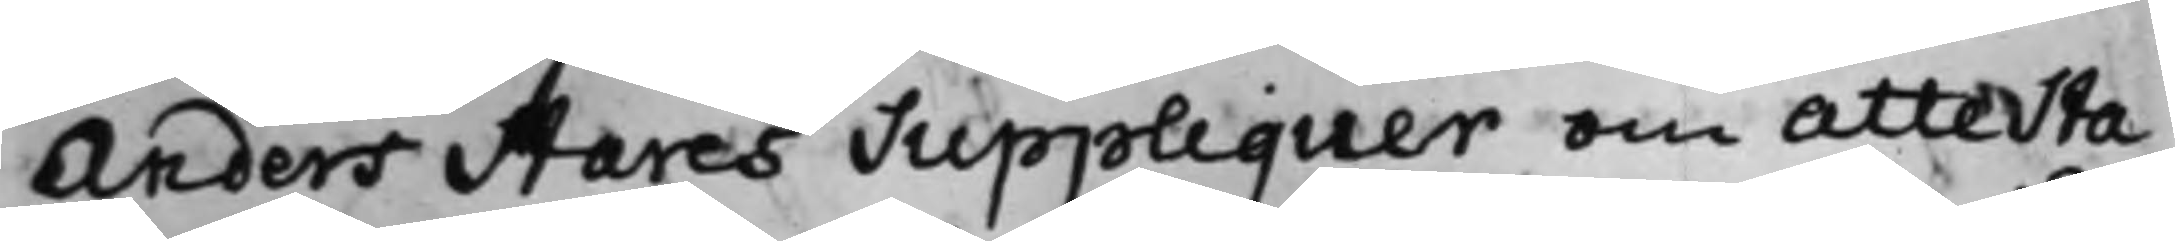Anders Stares Suppliquer om attesta¬
